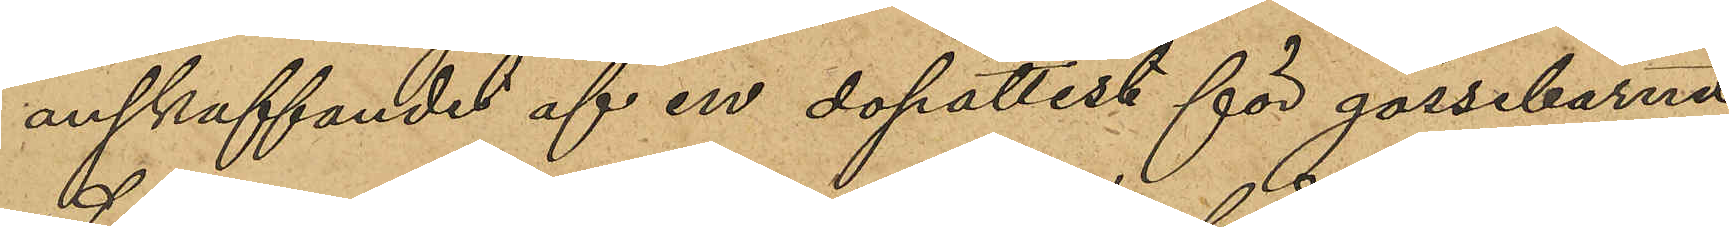anskaffandet af en dopattest för gossebarnet
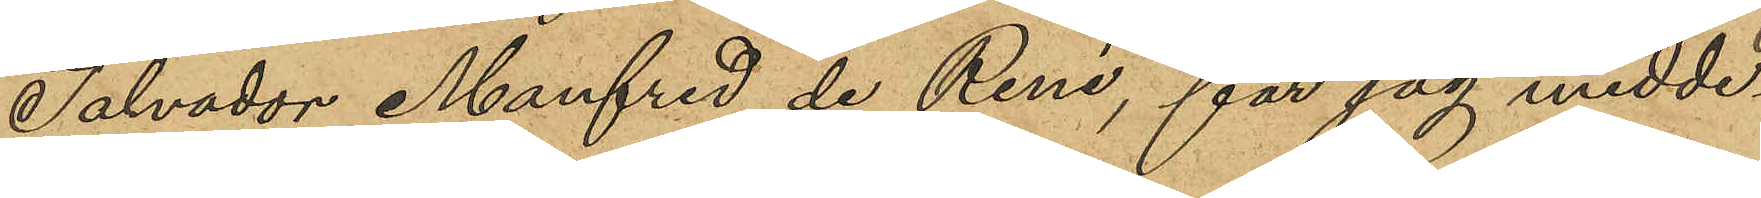Salvador Manfred de René, får jag medde¬
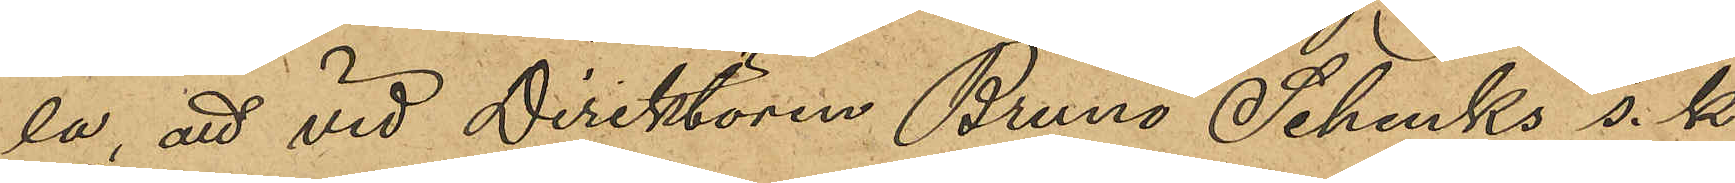la, att vid Direktören Bruno Schenks s. k.
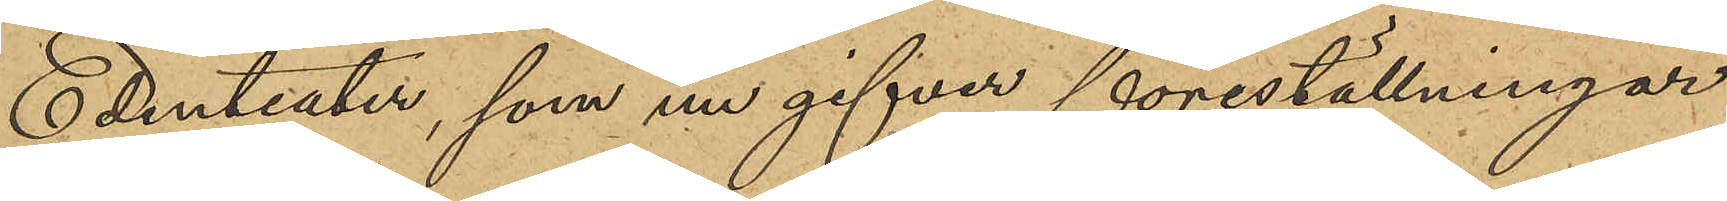Edenteater, som nu gifver föreställningar
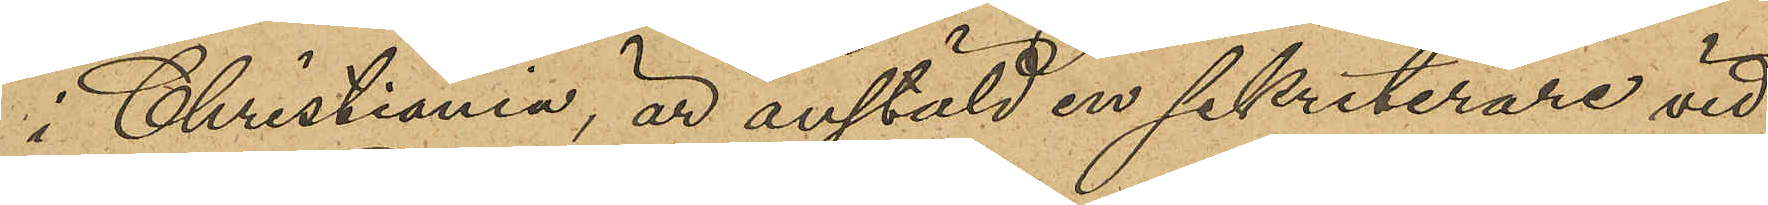i Christiania, är anstäld en sekreterare vid
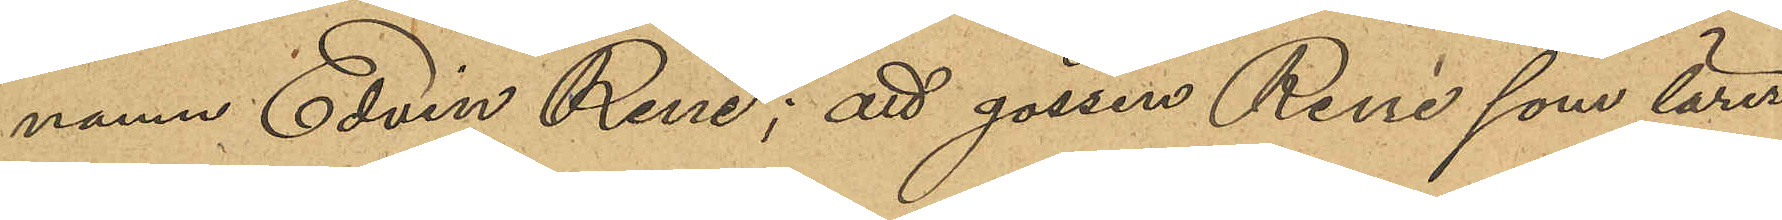namn Edvin René; att gossen René som lärer
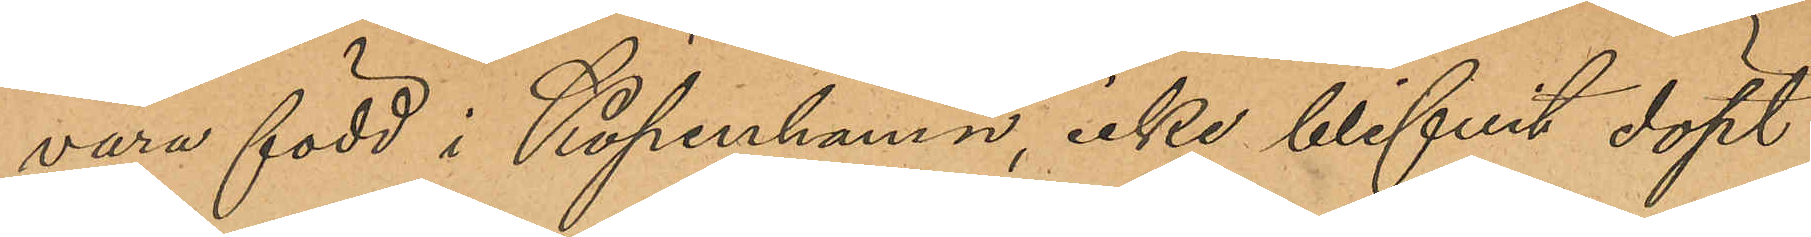vara född i Köpenhamn, icke blifvit döpt
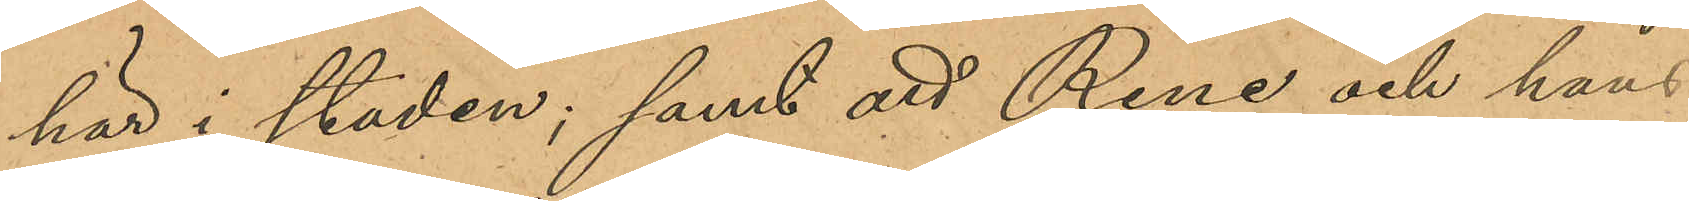här i staden; samt att René och hans 
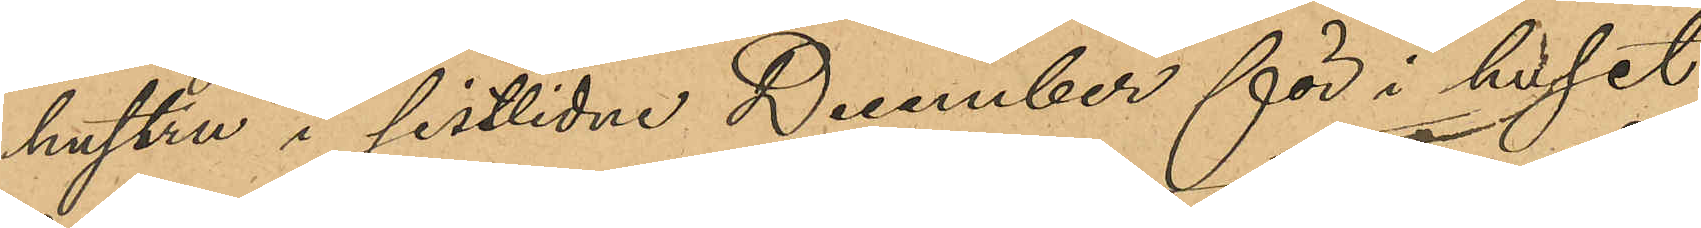hustru i sistlidne December för i huset
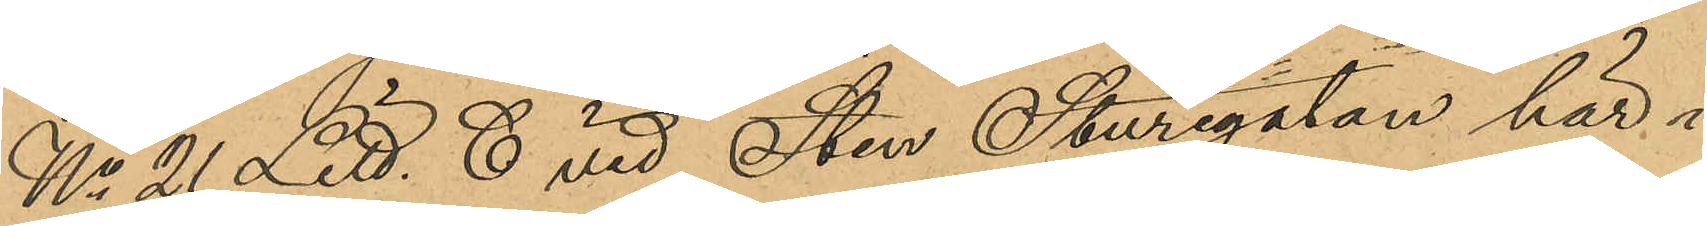No 21 Litt. C Sten Sturegatan här i
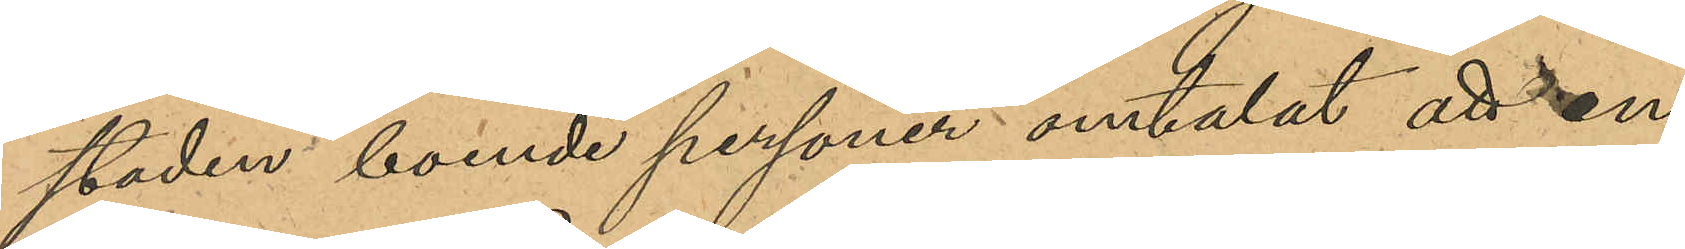staden boende personer omtalat att en
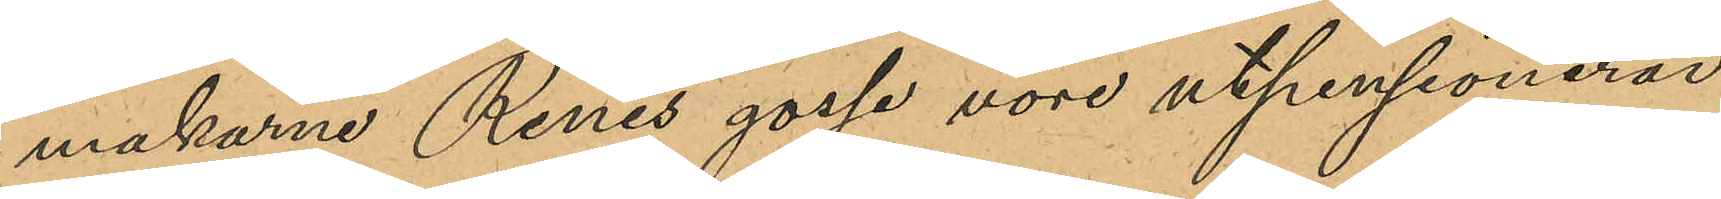makarne Renés gosse vore utpensionerad
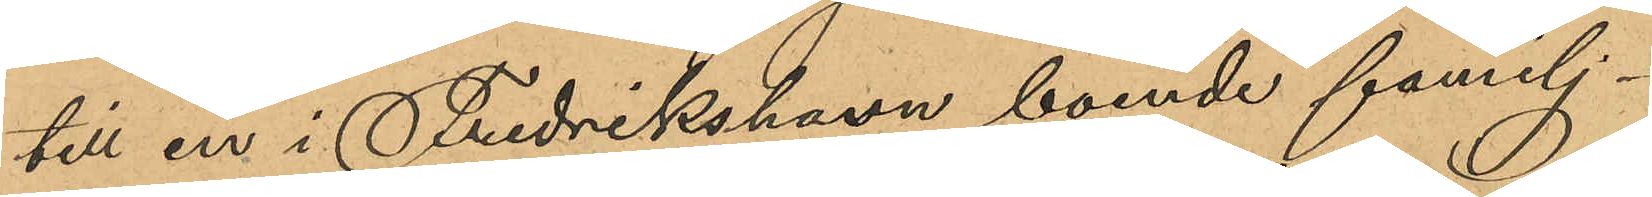till en i Fredrikshavn boende familj.
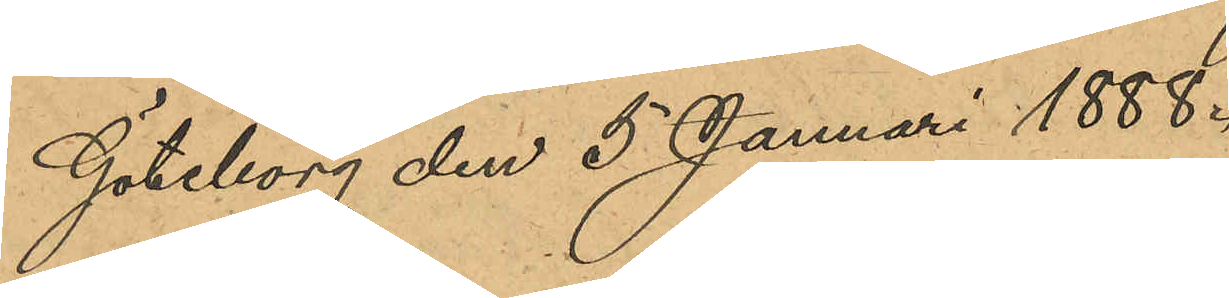Göteborg den 5 Januari 1888.
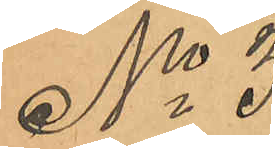No 3
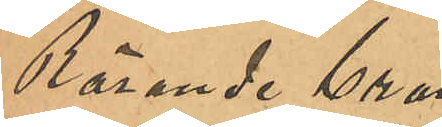Rörande bran¬
